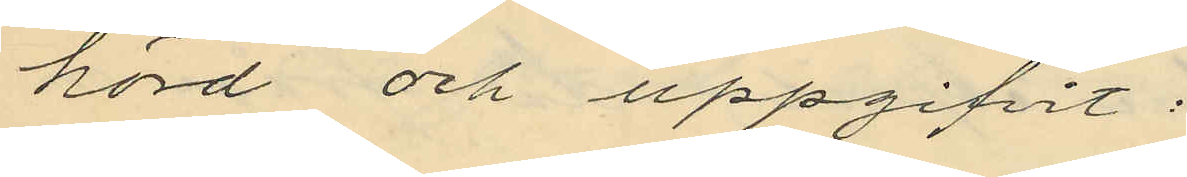hörd och uppgifvit:
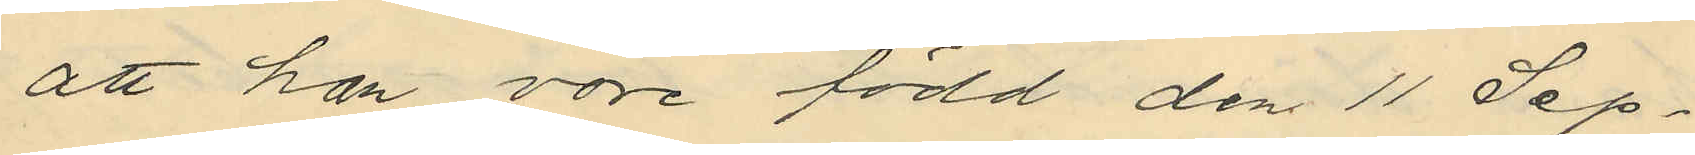att han vore född den 11 Sep¬
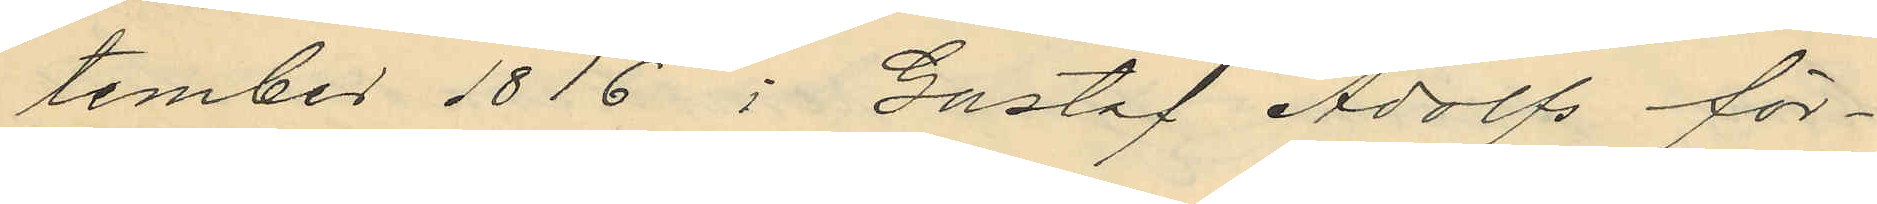tember 1816 i Gustaf Adolfs för¬
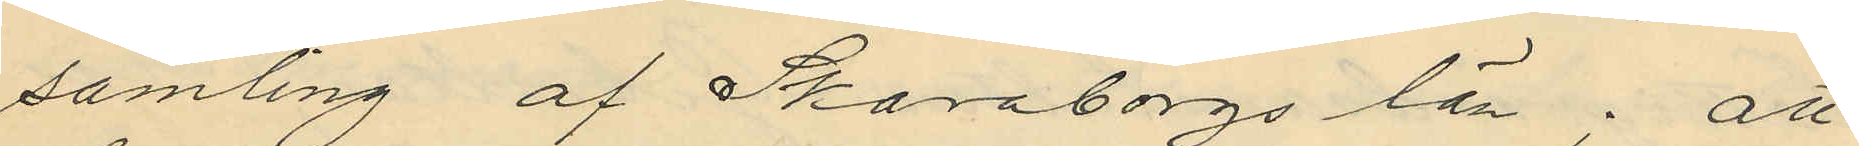samling af Skaraborgs län; att
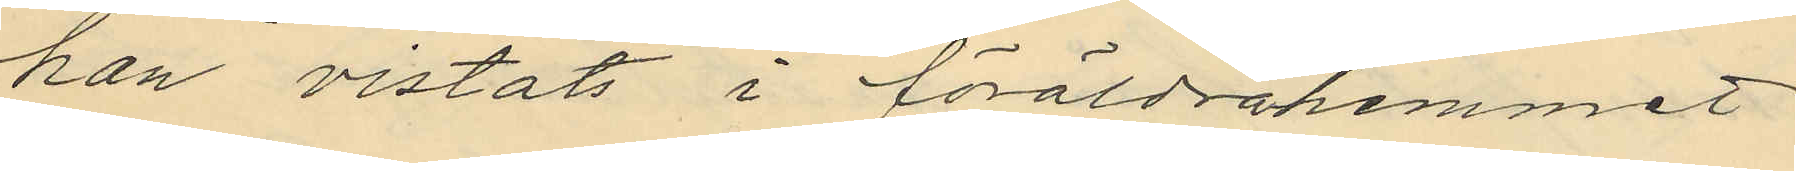han vistats i föräldrahemmet
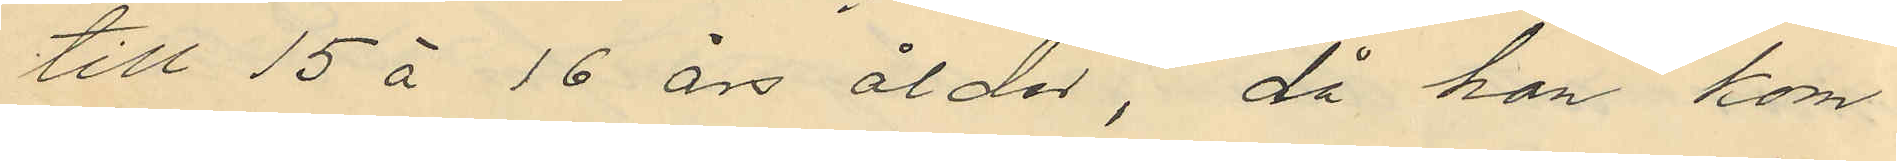till 15 à 16 års ålder, då han kom
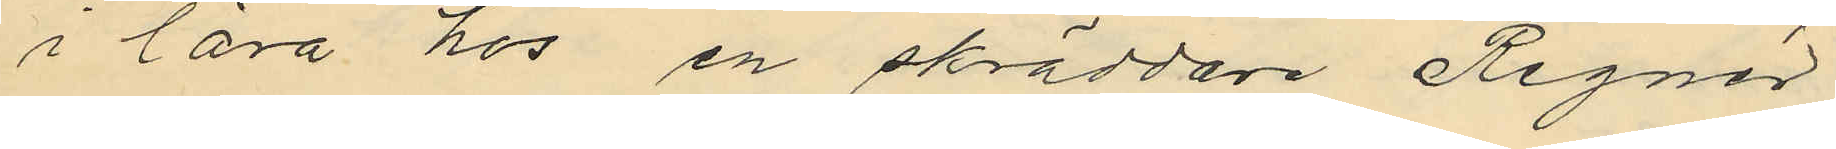i lära hos en skräddare Regnér
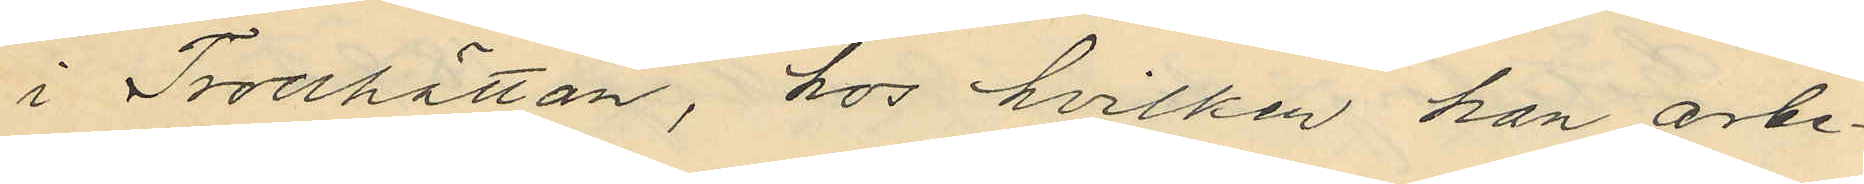i Trollhättan, hos hvilken han arbe¬
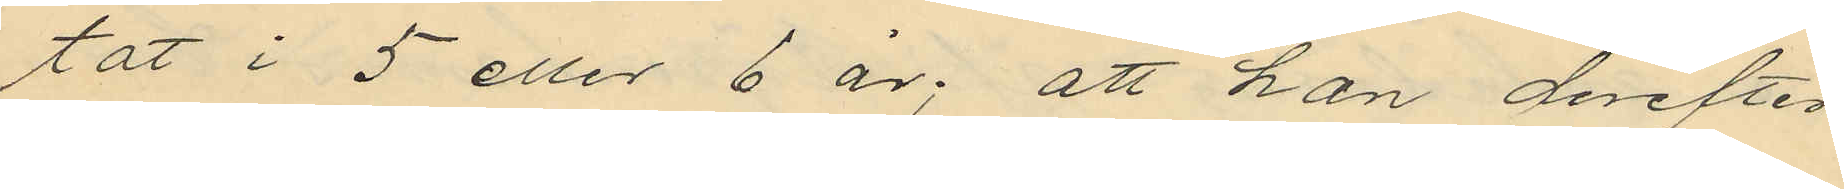tat i 5 eller 6 år; att han derefter
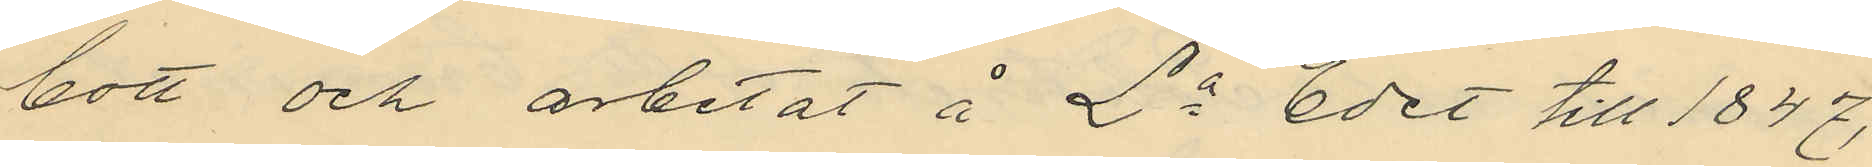bott och arbetat å La Edet till 1847,
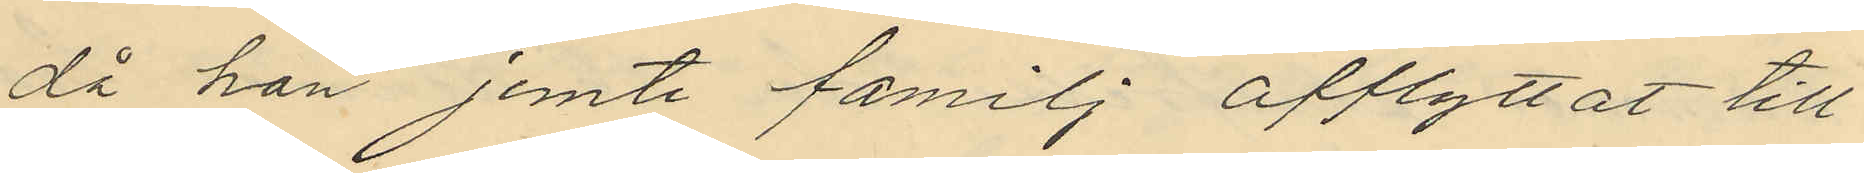då han jemte familj afflyttat till
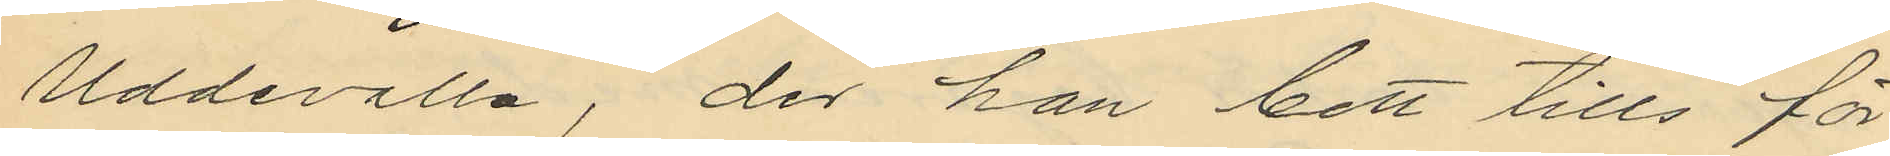Uddevalla, der han bott tills för
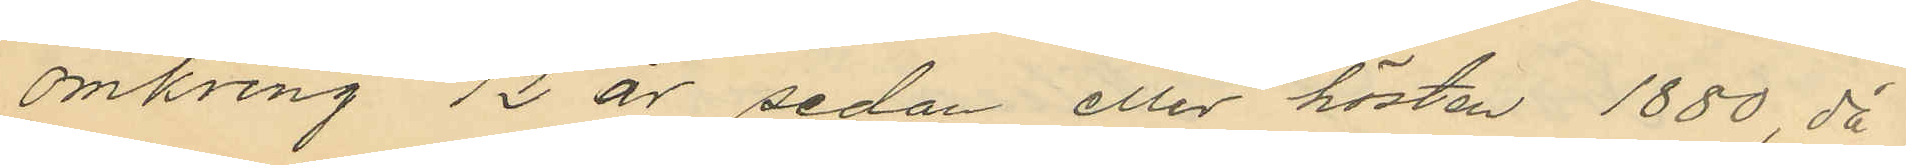omkring 12 år sedan eller hösten 1880, då
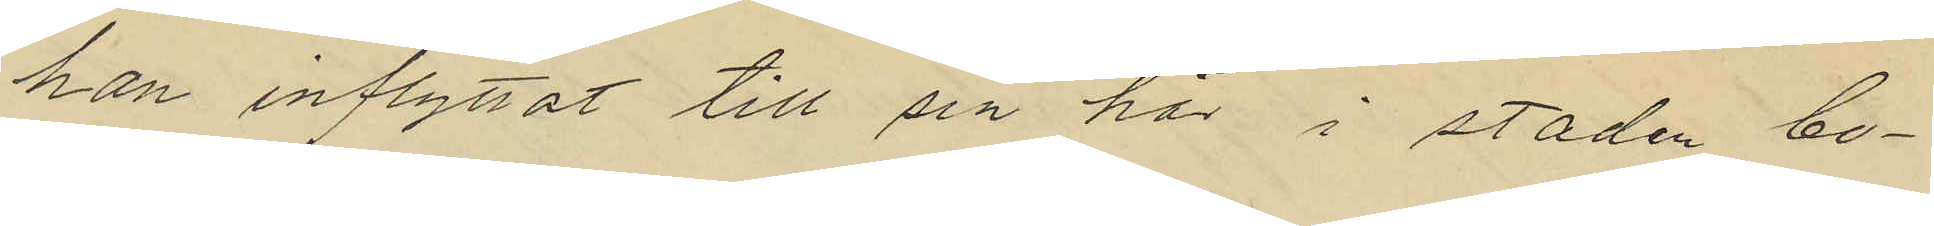han inflyttat till sin här i staden bo¬
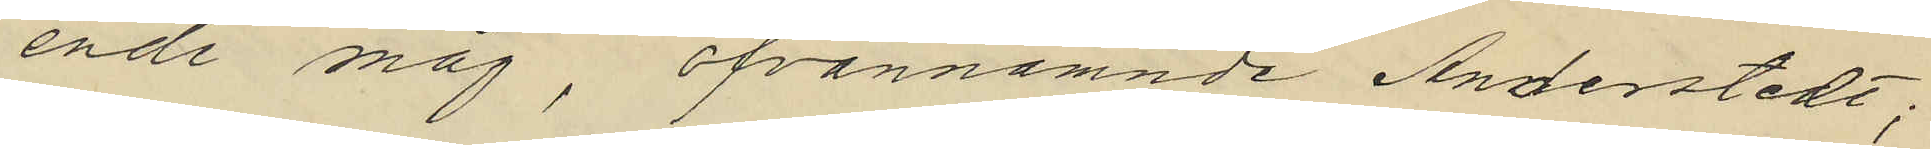ende måg, ofvannämnde Anderstedt;
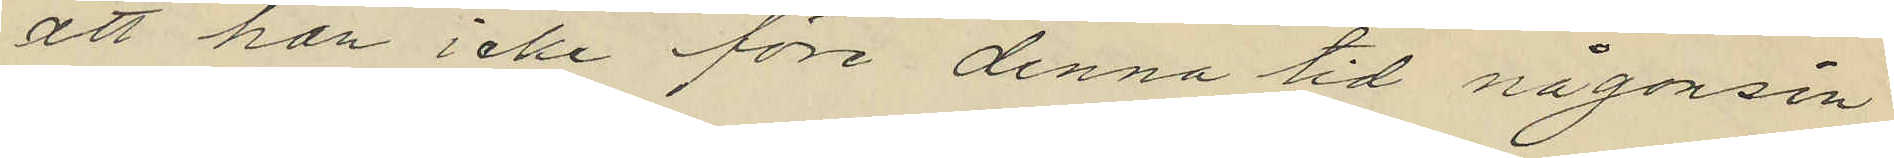att han icke före denna tid någonsin
